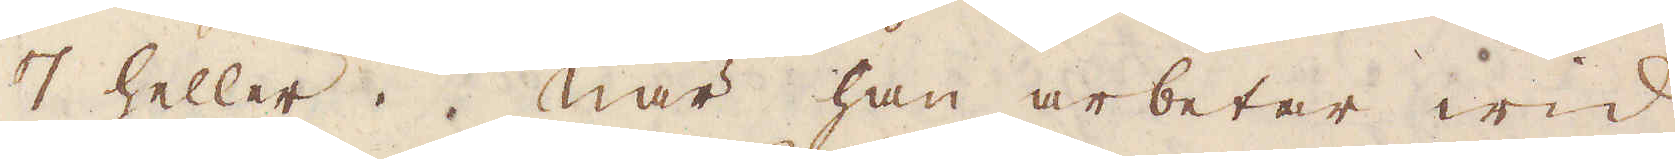7 heller. När han arbetar wid
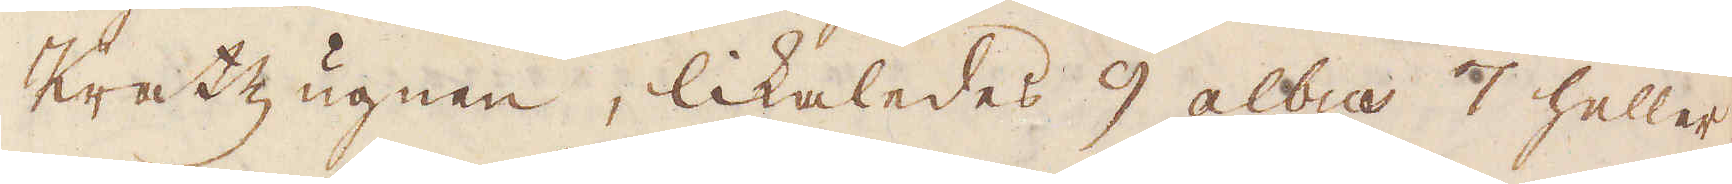Kratzugnen, likaledes 9 albus 7 heller.
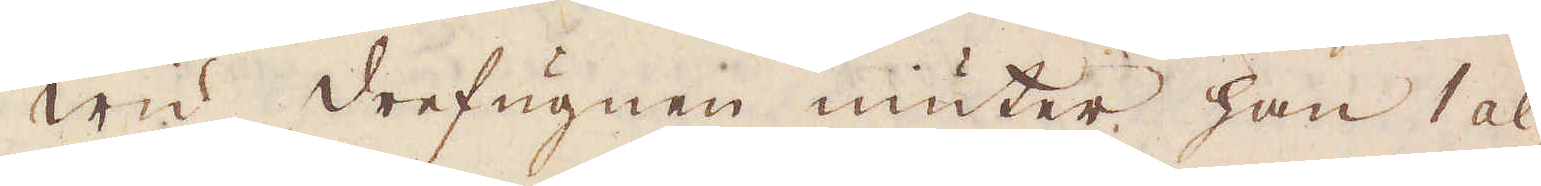Wid drefugnen niuter han 1 al-
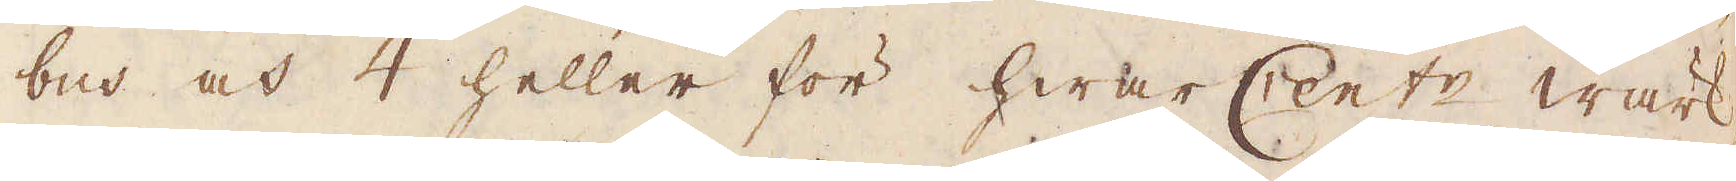bus och 4 heller för hwar Cent:r wärk-
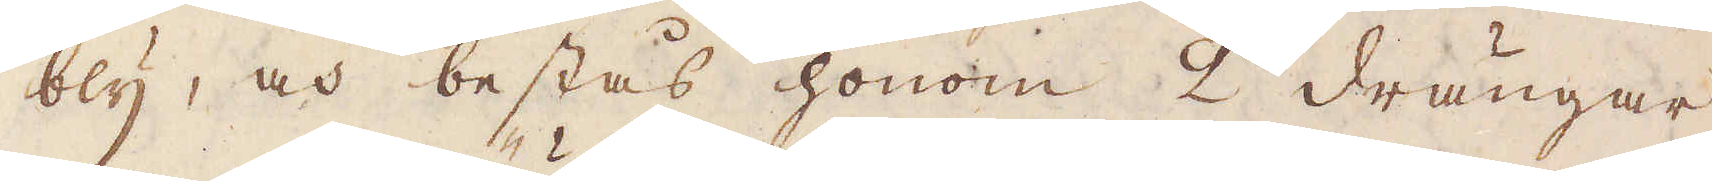bly, och bestås honom 2 drängar
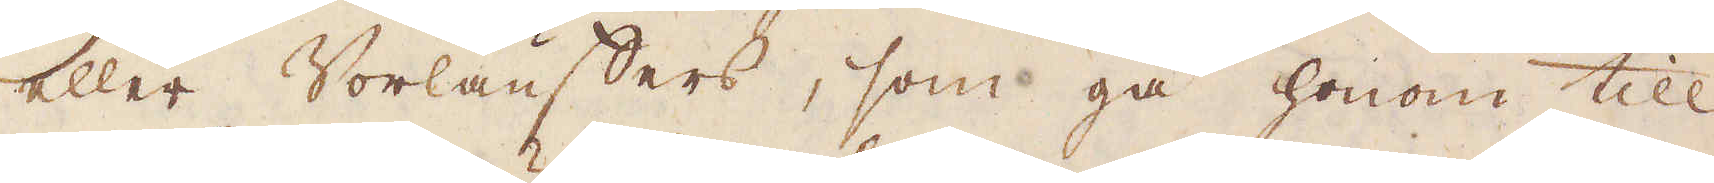eller Vorläuffers, som gå honom till
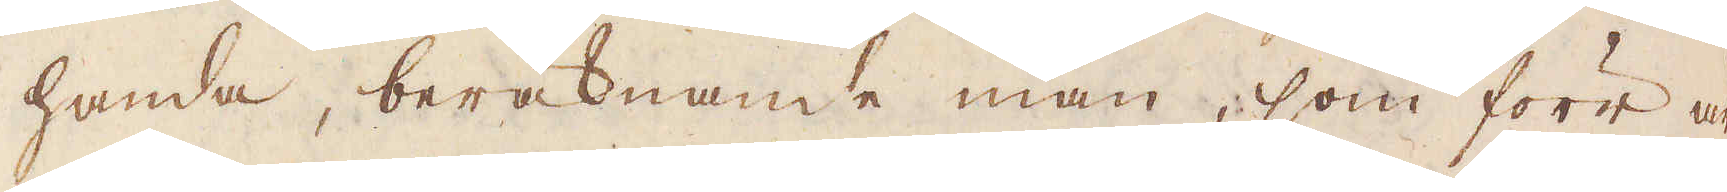handa, beräknande man, som förr är
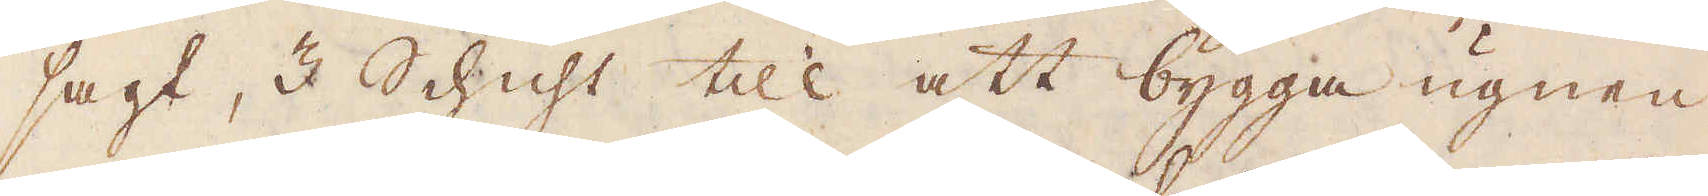sagt, 3 Schicht till att bygga ugnen
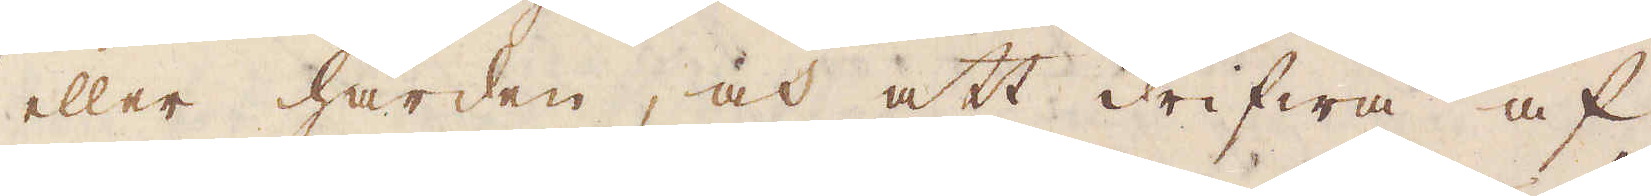eller härden, och att drifwa af
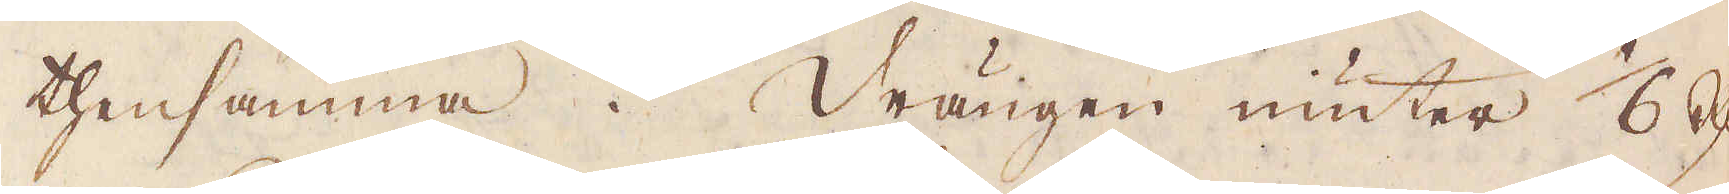thensamma. Drängen niuter 1/6 R:dr
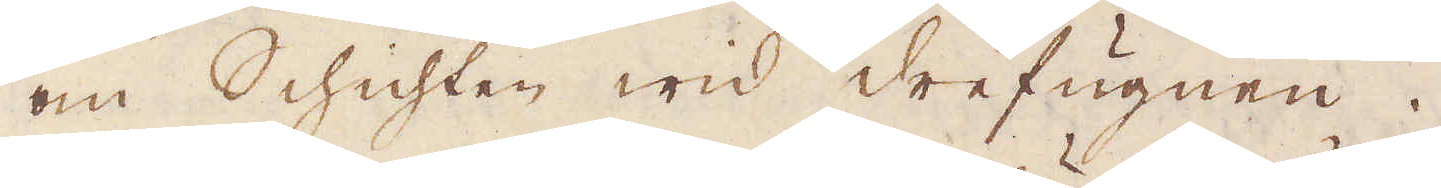om Schichten wid drefugnen.
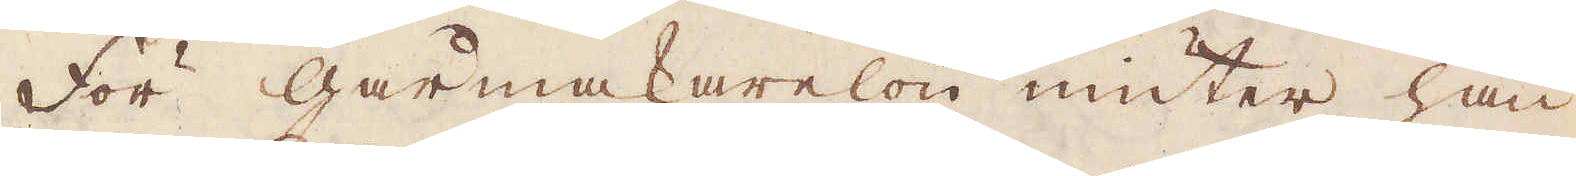För Gårmakarelön niuter han
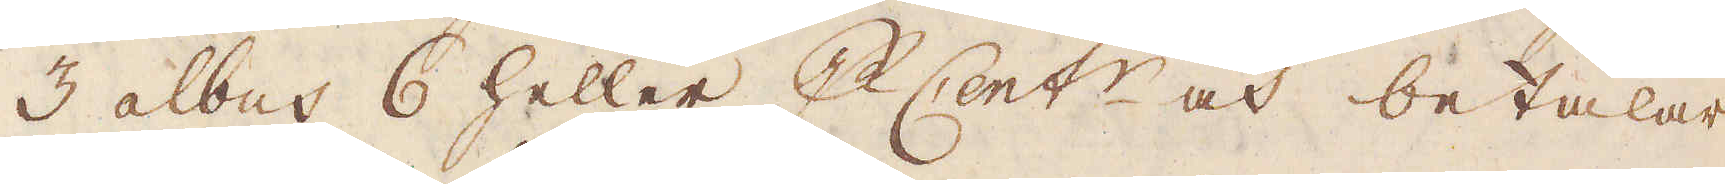3 albus 6 heller p Cent:r och betalar
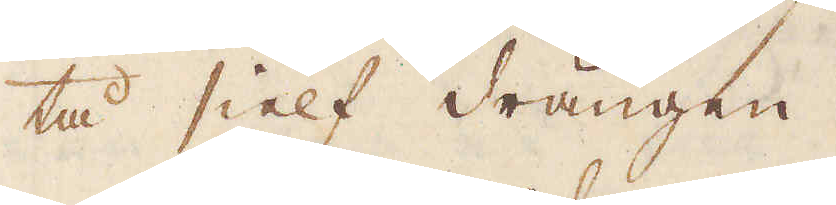tå sielf drängen.
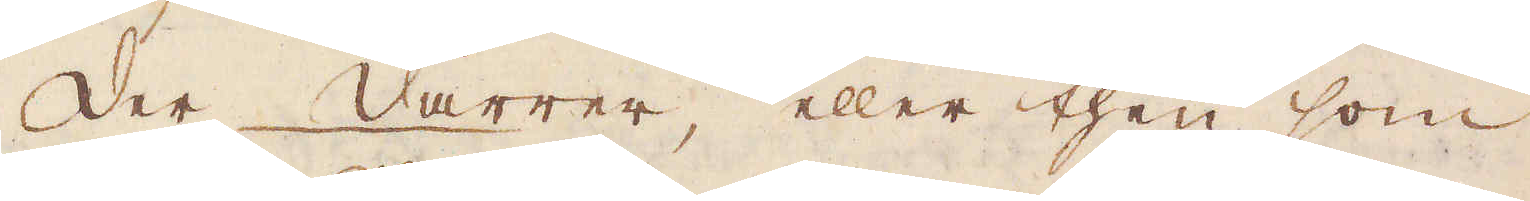Der darrer, eller then som
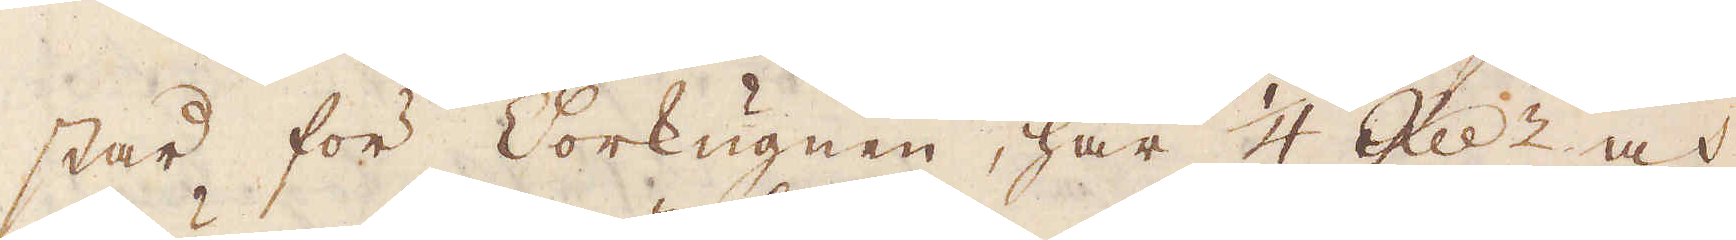står för Vorkugnen, har 1/4 R:dr och
